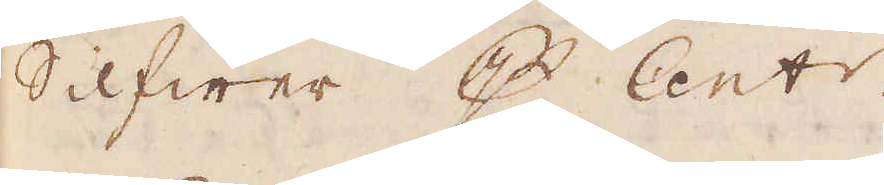Silfwer p Cent:r.
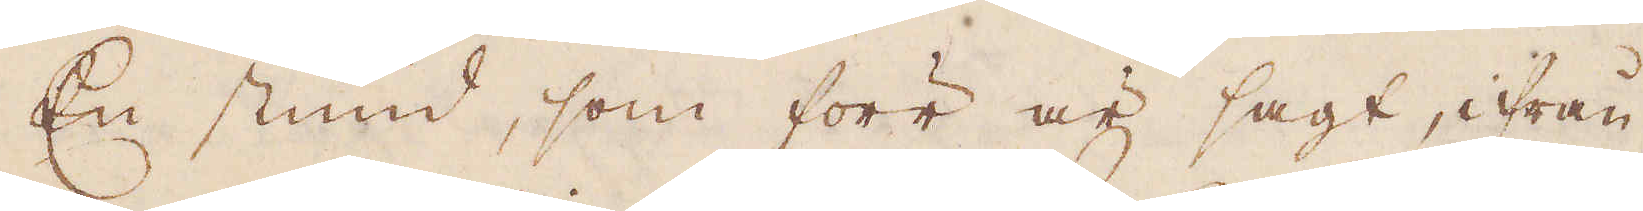En stund, som förr är sagt, ifrån
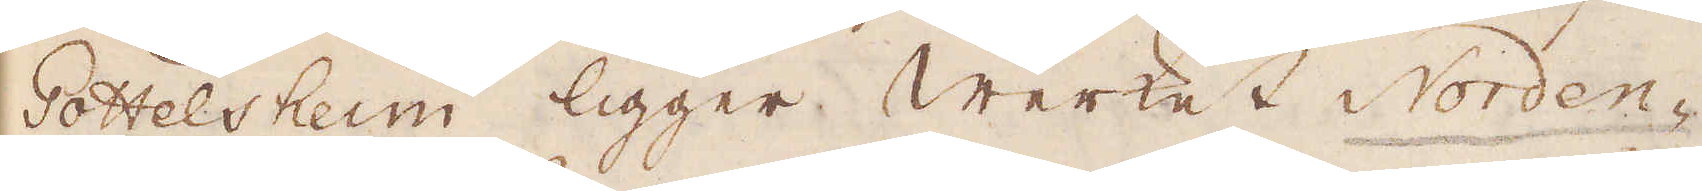Gottelsheim ligger Werket Norden-
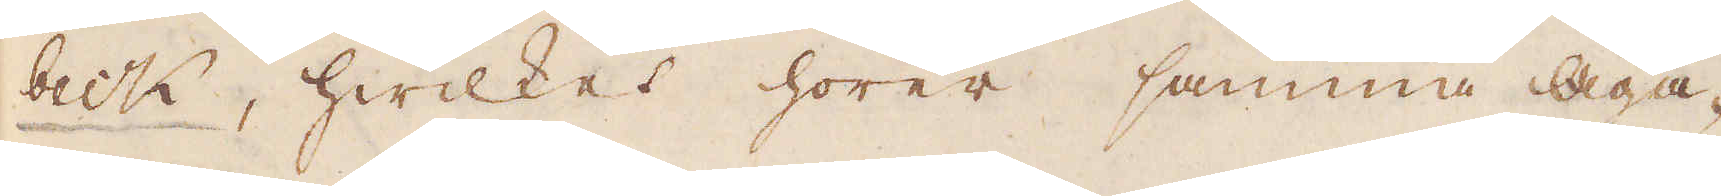beck, hwilket hörer samma Äga-
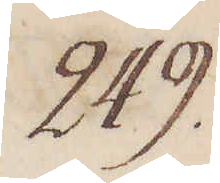249.
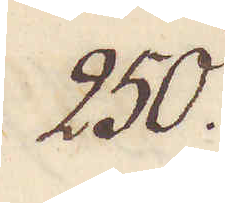250.
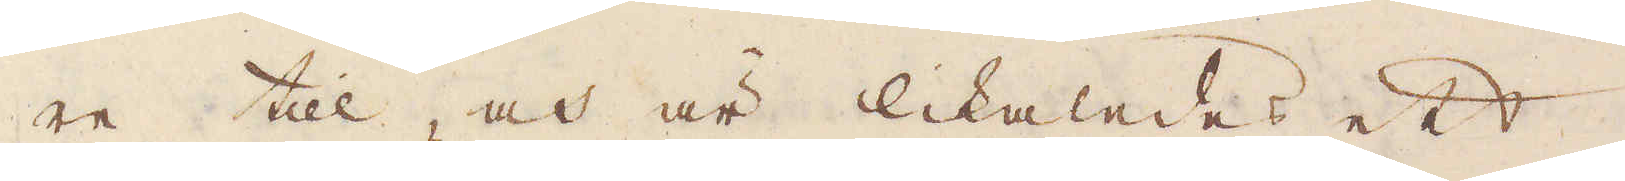re till, och är likaledes ett
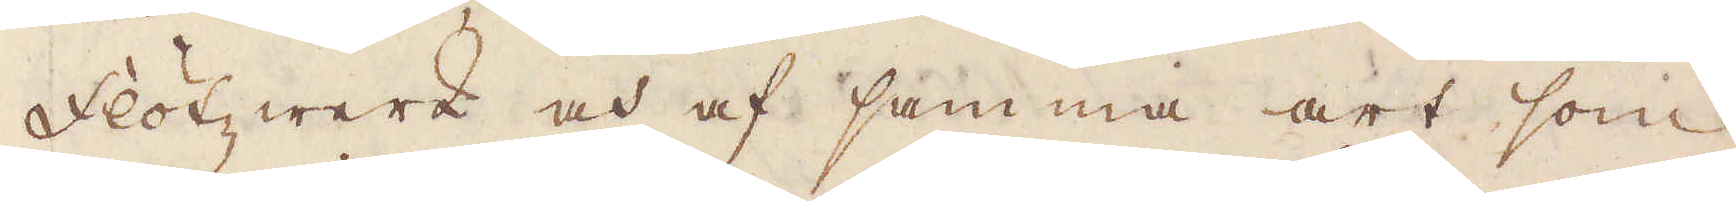flötz werk och af samma art som
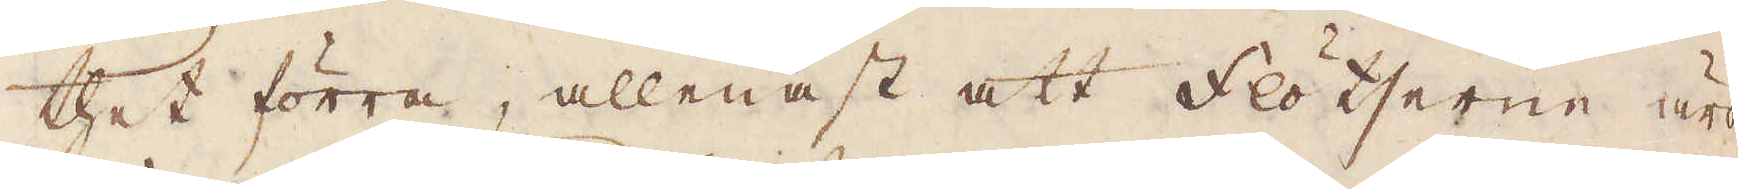thet förra, allenast att flötserne äro
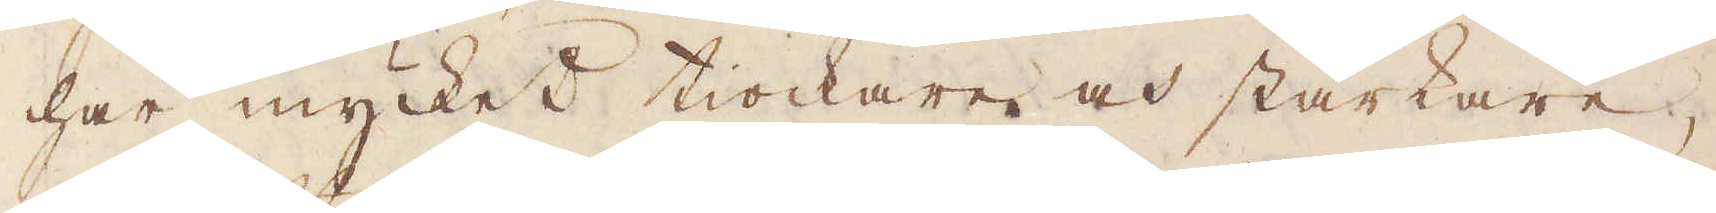här mycket tiockare och starkare,
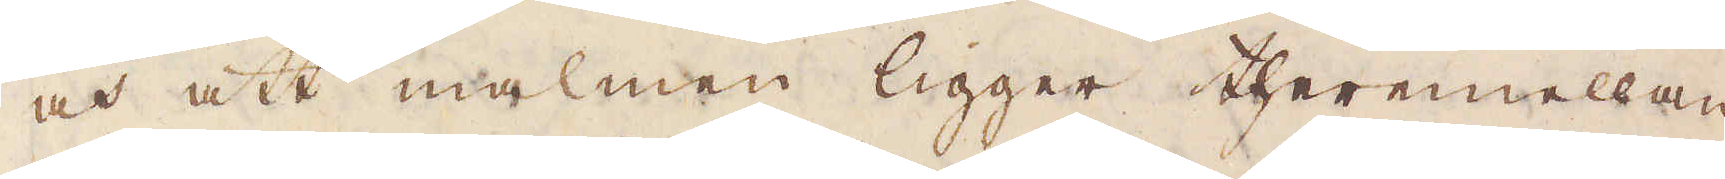och att malmen ligger theremellan
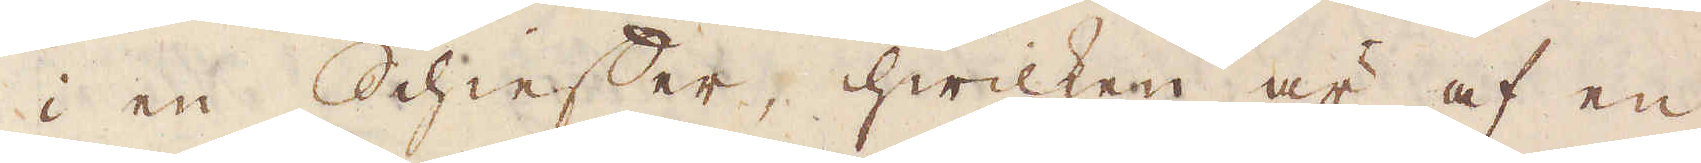i en Schieffer, hwilken är af en
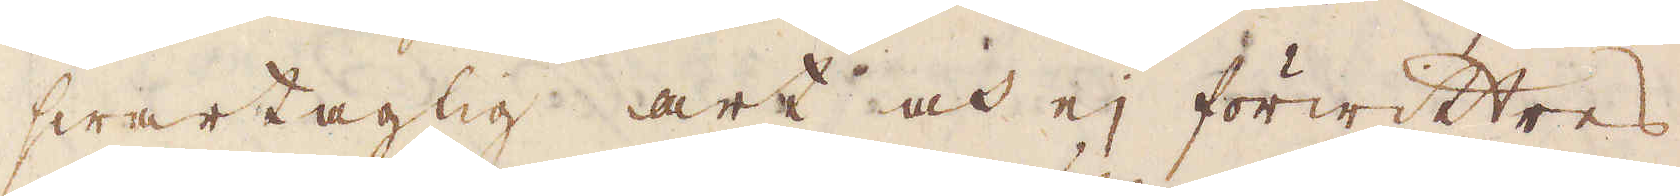swartagtig art och ej förwittres
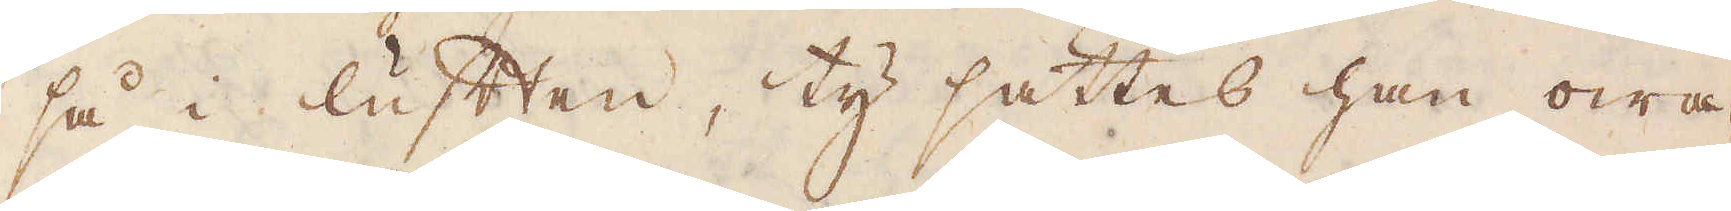så i luften, ty sättes han owa-
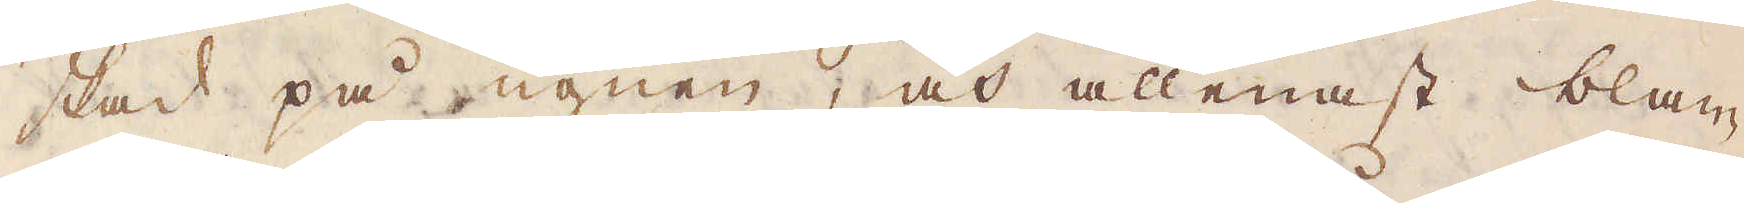skad på ugnen, och allenast blan-
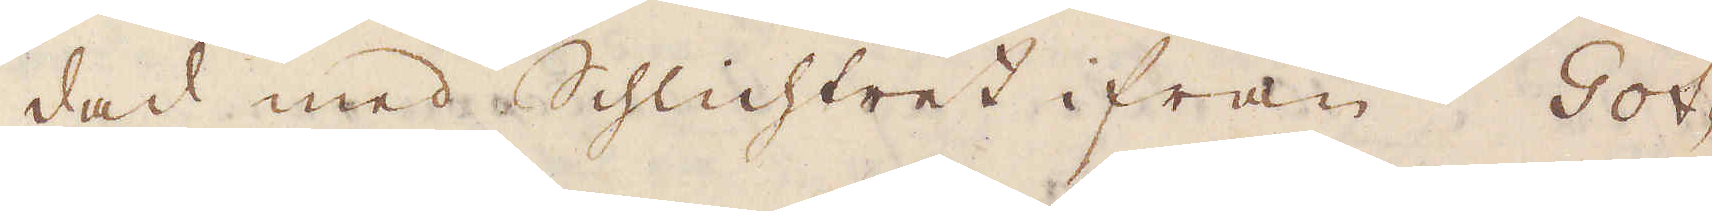dad med Schlichtret ifrån Got-
